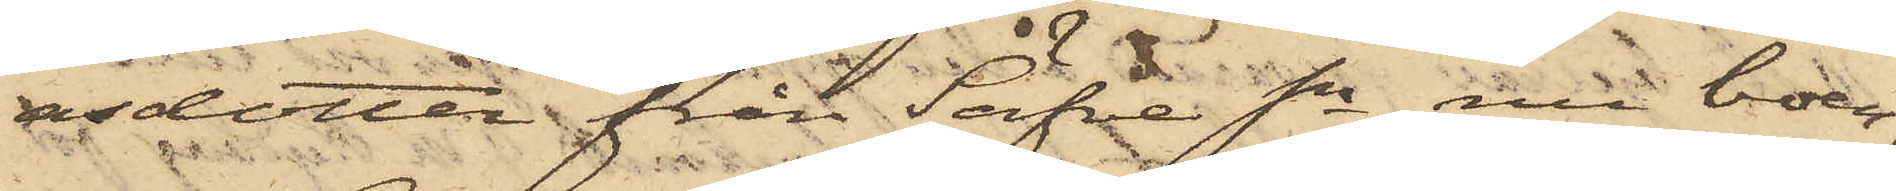asdotter från Säfve Sn, nu boen¬
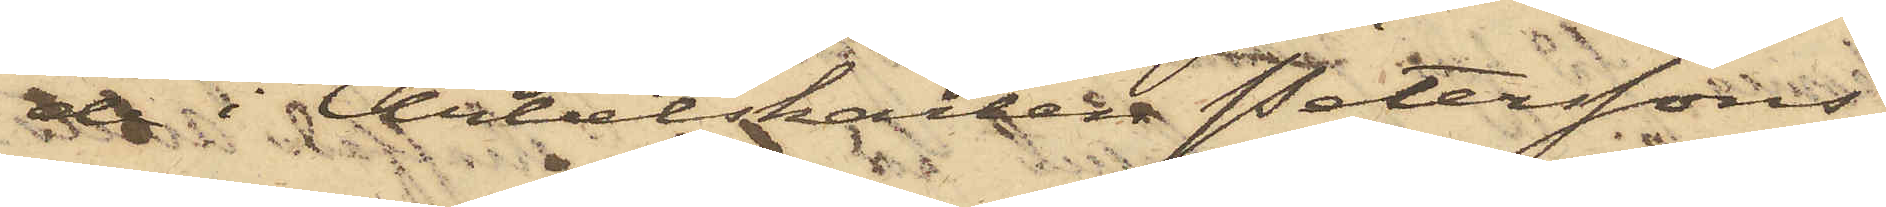de i Arbetskarlen Peterssons
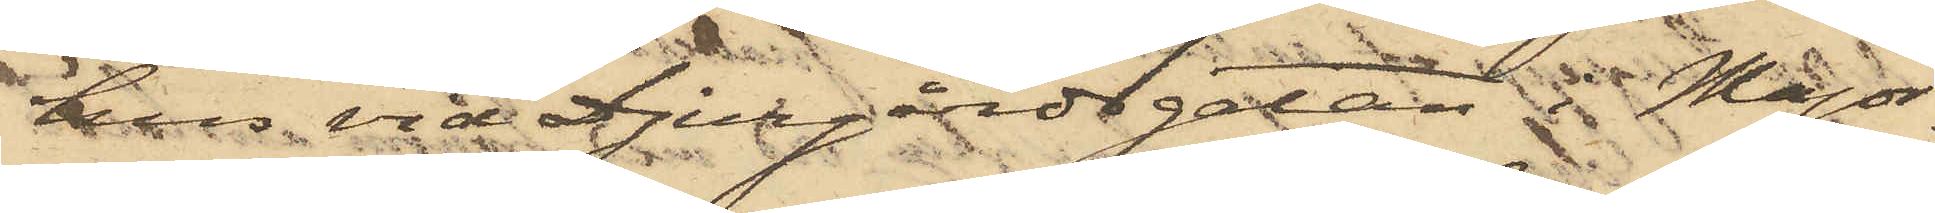hus vid Djurgårdsgatan i Major¬
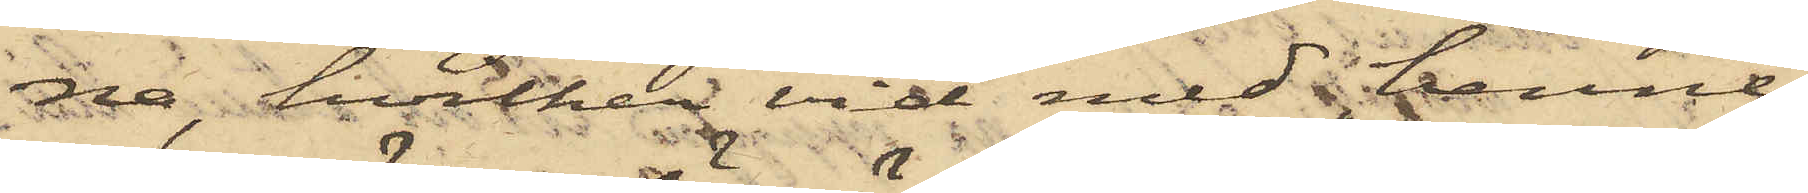na, hvilken vid med henne
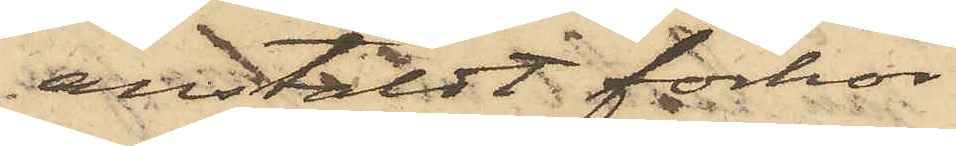anstäldt förhör
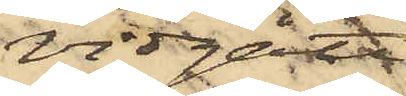vidgått,
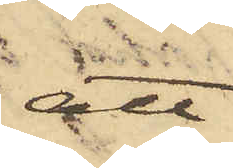att
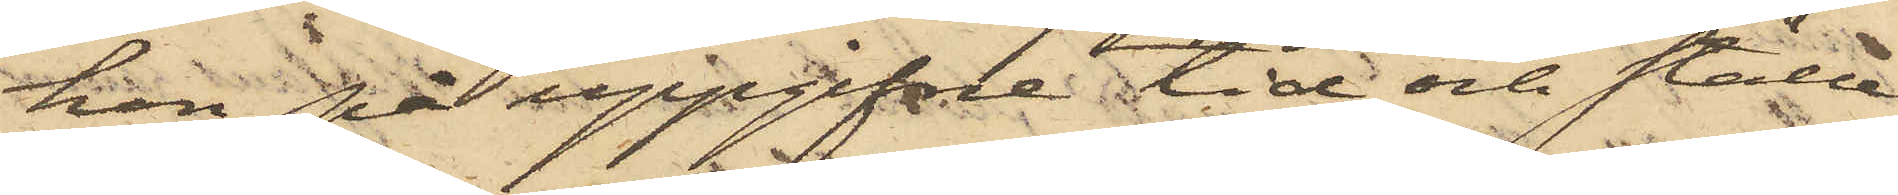hon på uppgifne tid och ställe
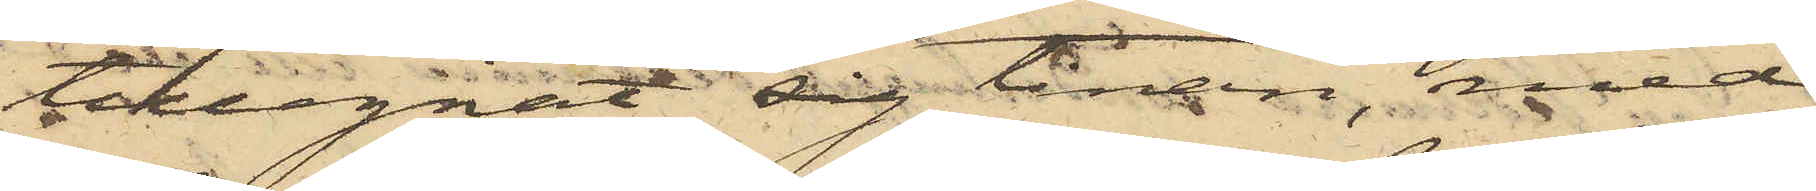tillegnat sig tinan, med
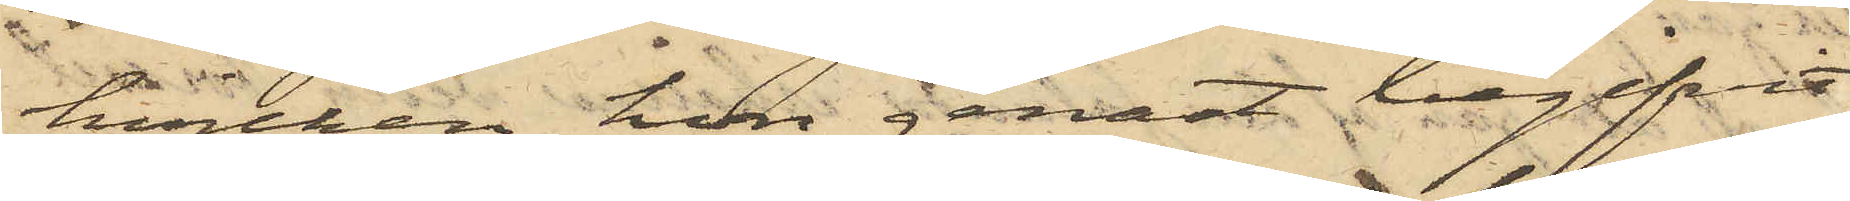hvilken hon genast begifvit
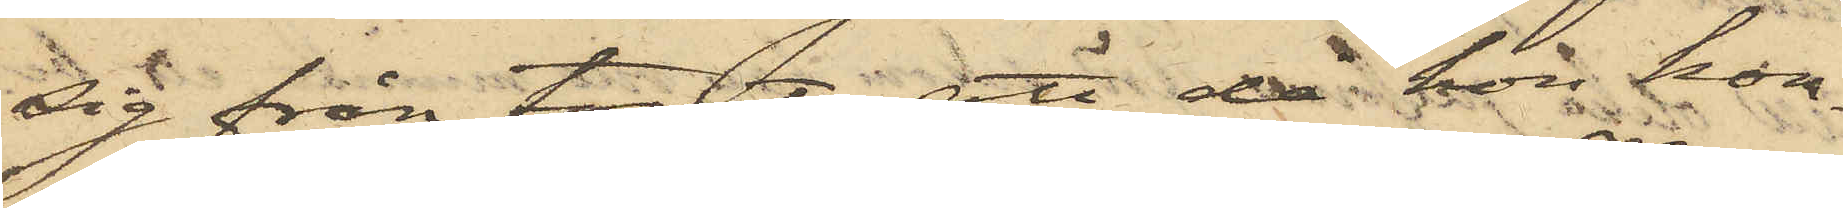sig från Torget; att då hon kom¬
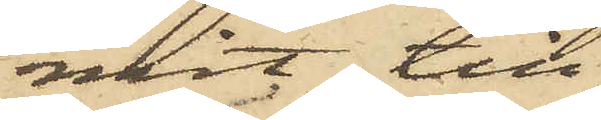mit till
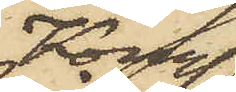Kongl.
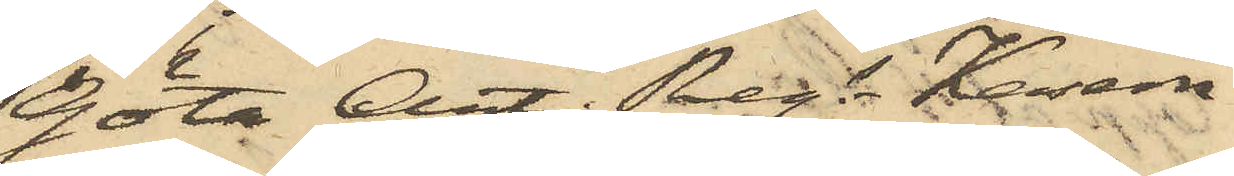Göta Art. Regs Kasern
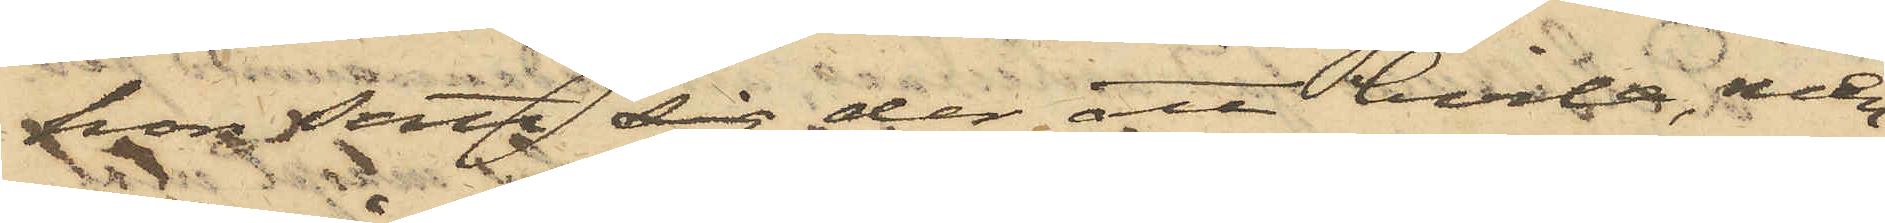hon satt sig der att hvila, men
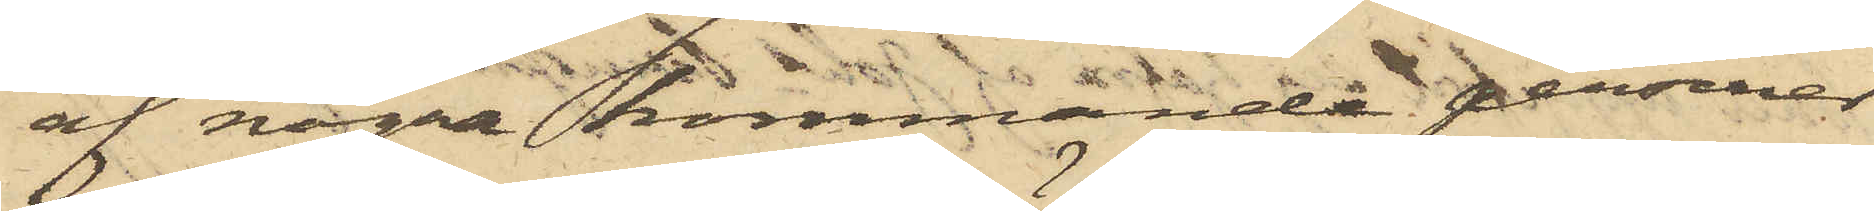af några kommande personer
